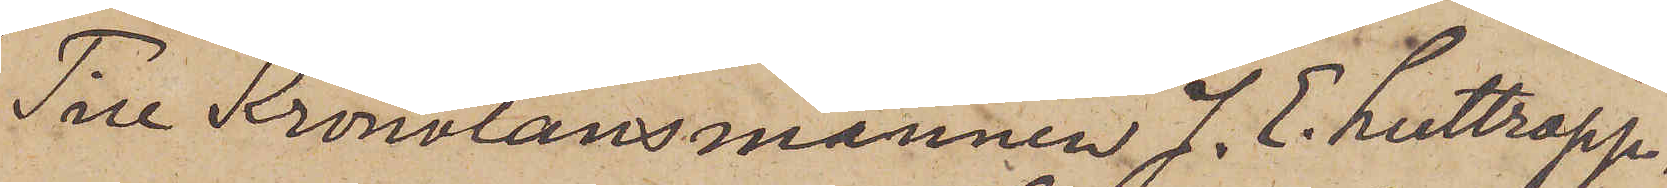Till Kronolänsmannen J. E. Luttropp.
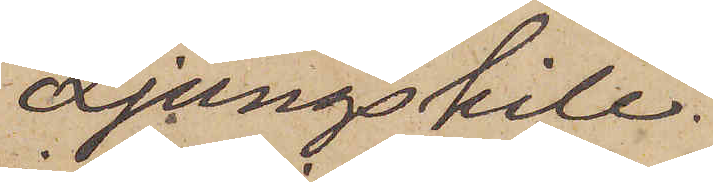Ljungskile.
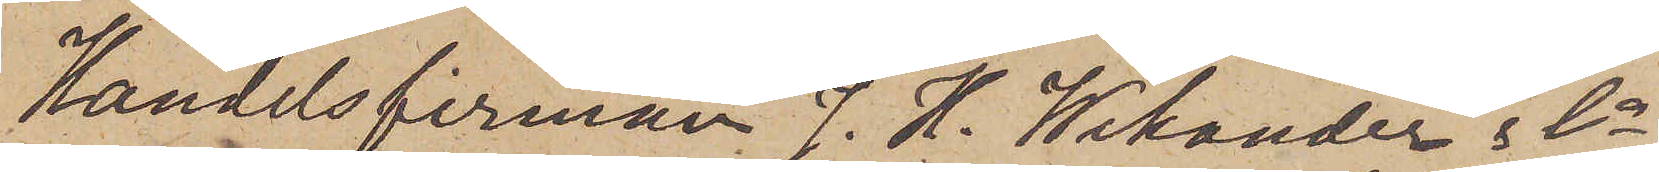Handelsfirman J. H. Wikander & Co
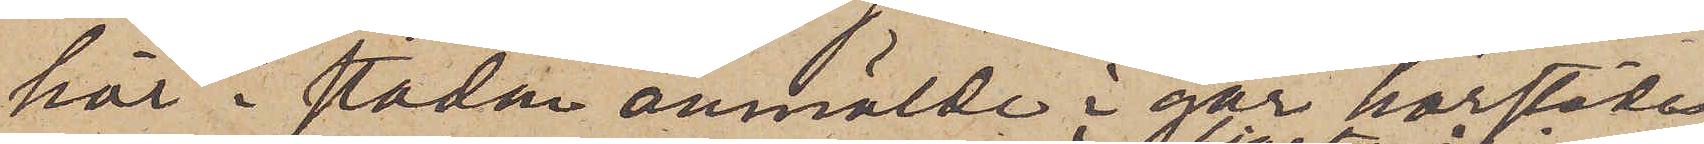här i staden anmälde i går härstädes,
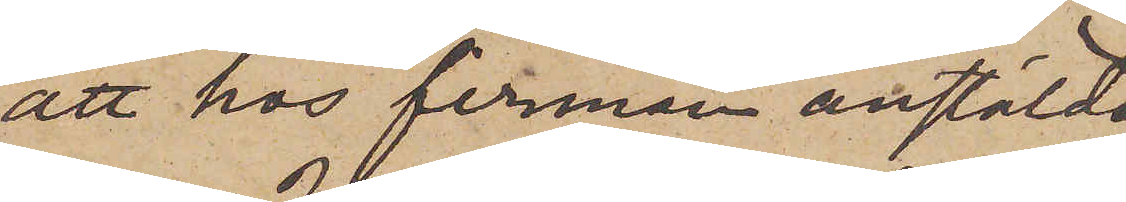att hos firman anstälda
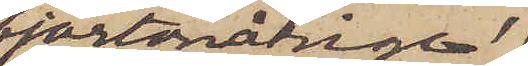fjortonårige
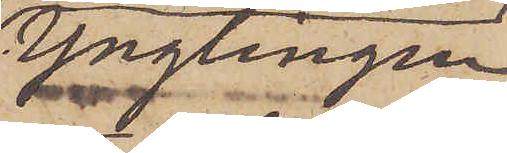Ynglingen
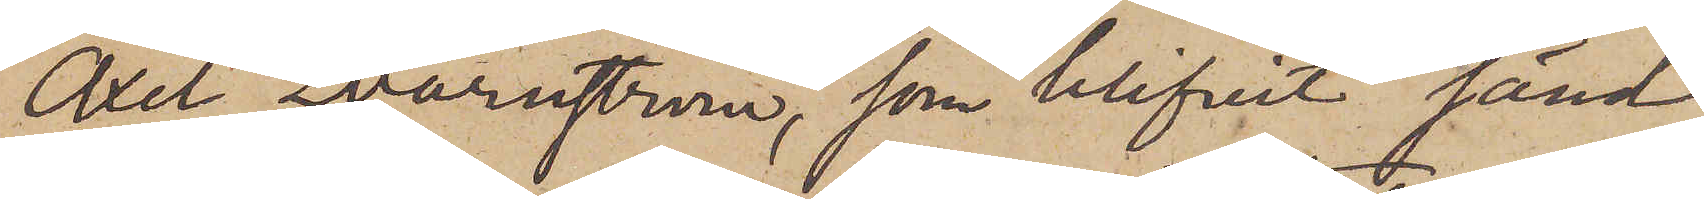Axel Qvarnström, som blifvit sänd
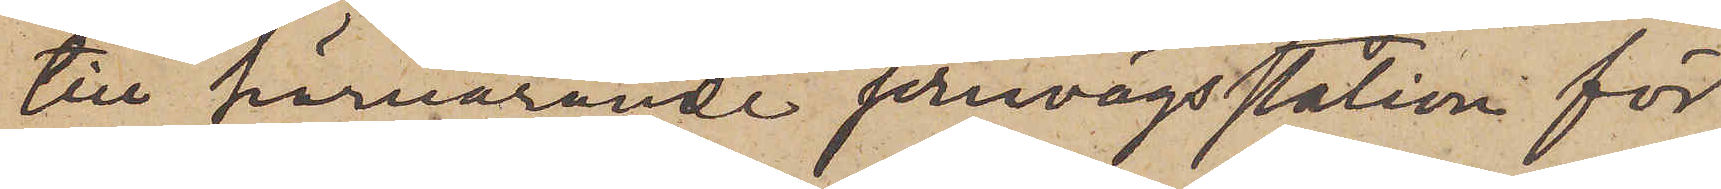till härvarande jernvägsstation för
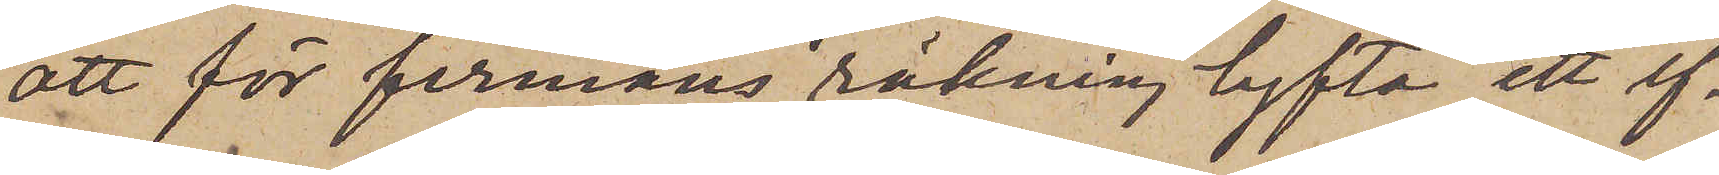att för firmans räkning lyfta ett ef¬
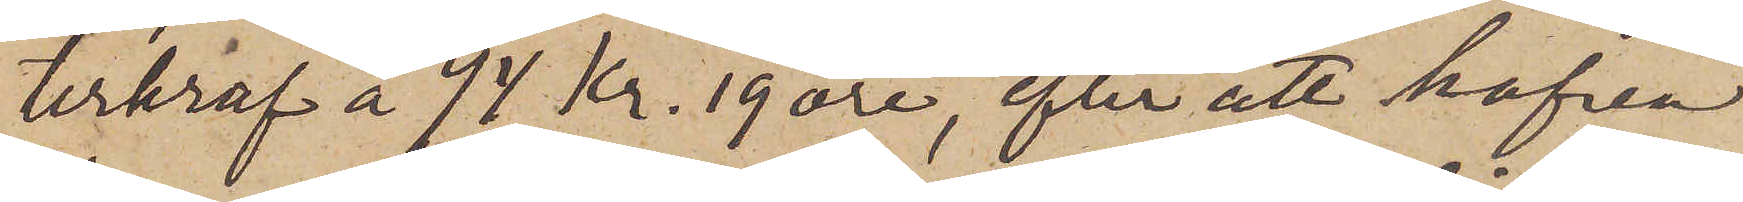terkraf å 94 Kr. 19 öre, efter att hafva
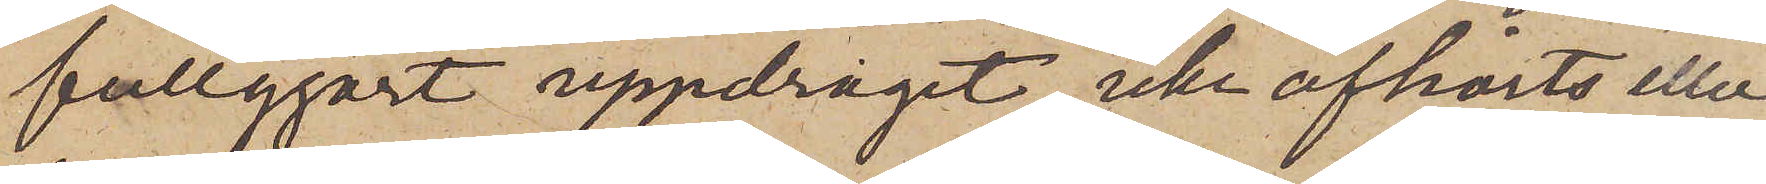fullgjort uppdraget, icke afhörts eller
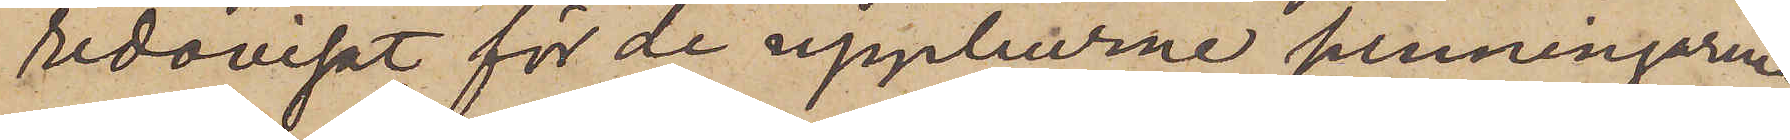redovisat för de uppburne penningarne.
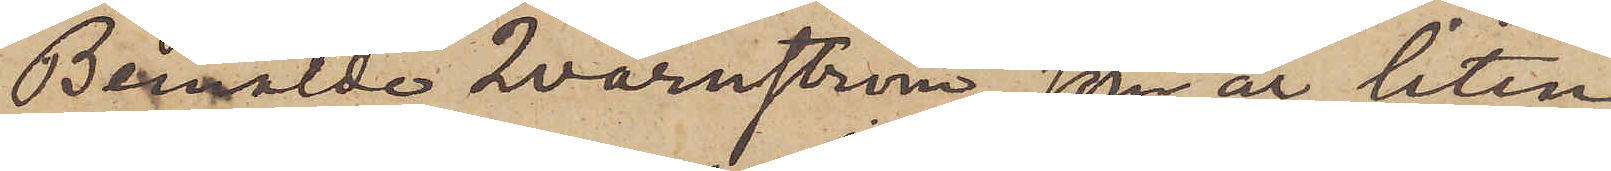Bemälde Qvarnström, som är liten
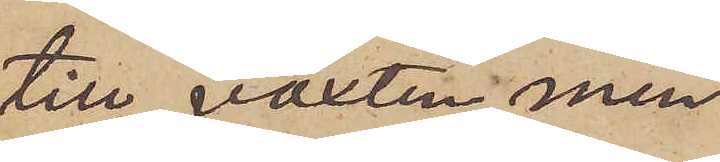till växten men
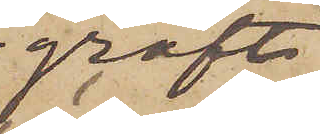groft
